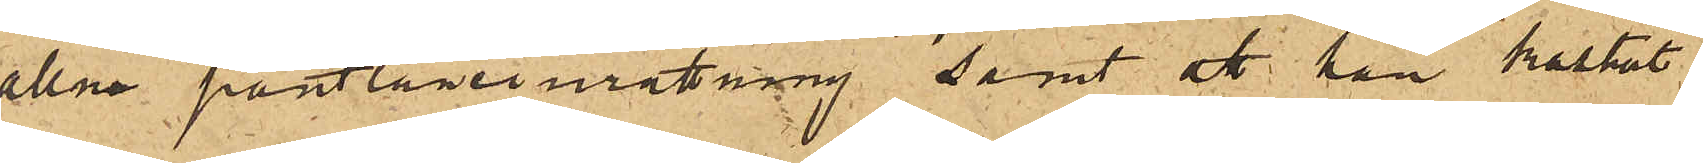allm pantlåneinrättning samt att han kastat
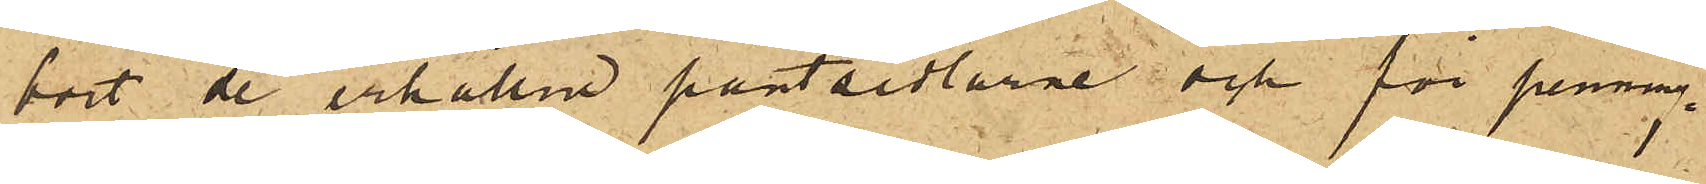bort de erhållna pantsedlarne och för penning¬
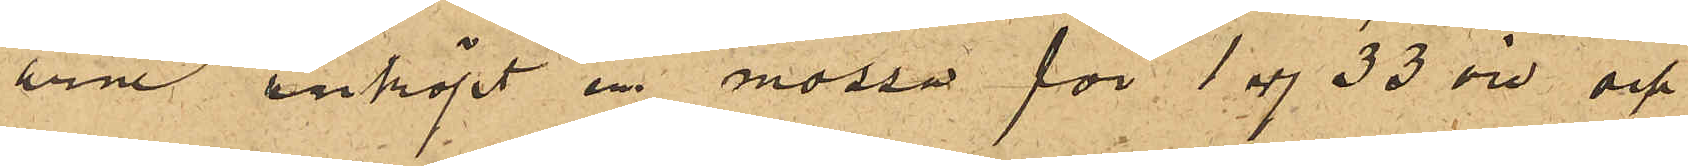arne inköpt en mössa för 1 rdr 33 öre och
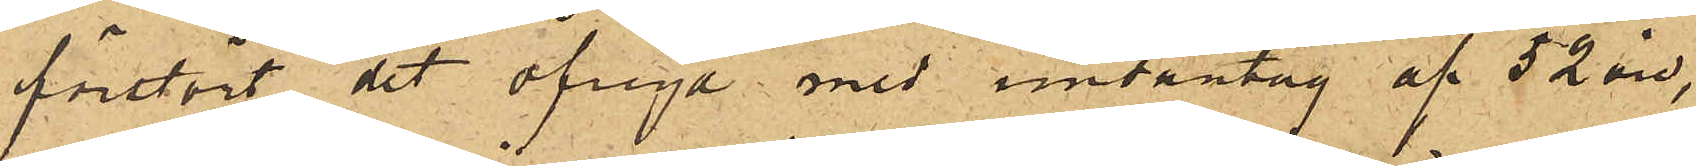förstört det öfriga med undantag af 52 öre,
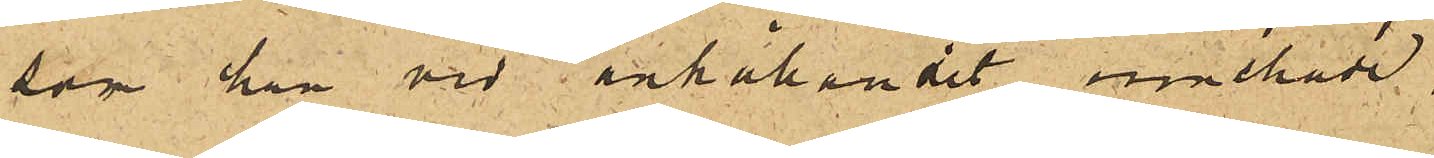som han vid anhållandet innehade.
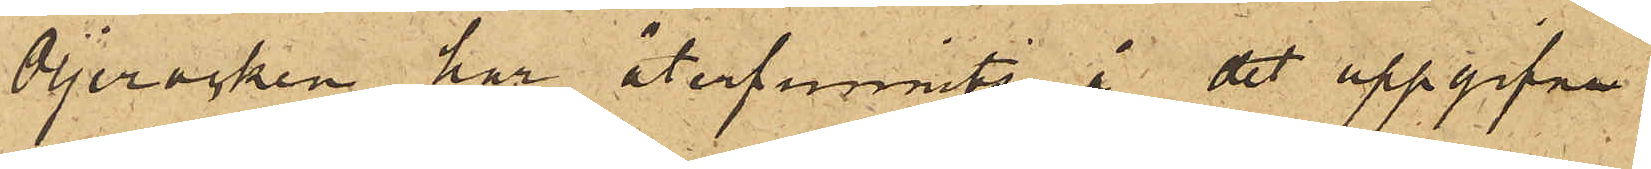Oljerocken har återfunnits å det uppgifna
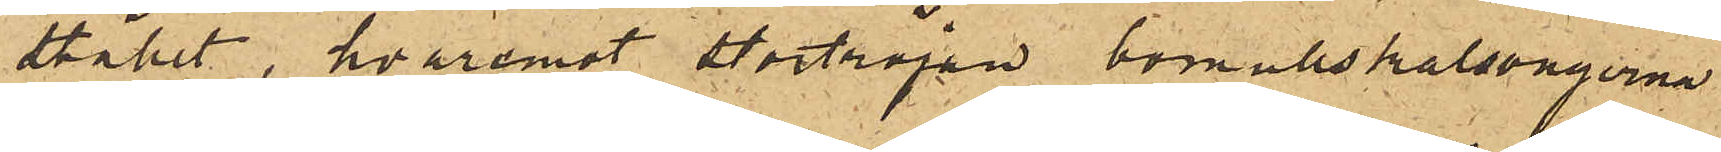stället, hvaremot stortröjan bomullskalsongerna
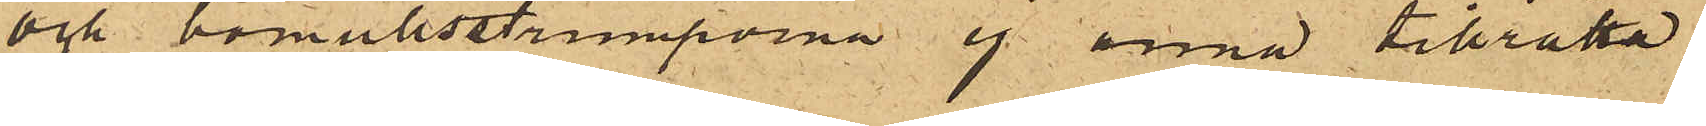och bomullsstrumporna ej ännu tillrätta
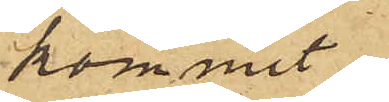kommit.
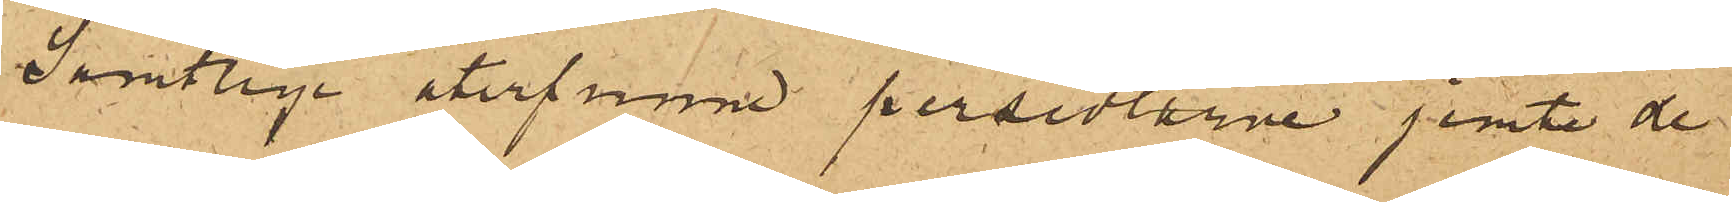Samtlige återfunne persedlarne jemte de
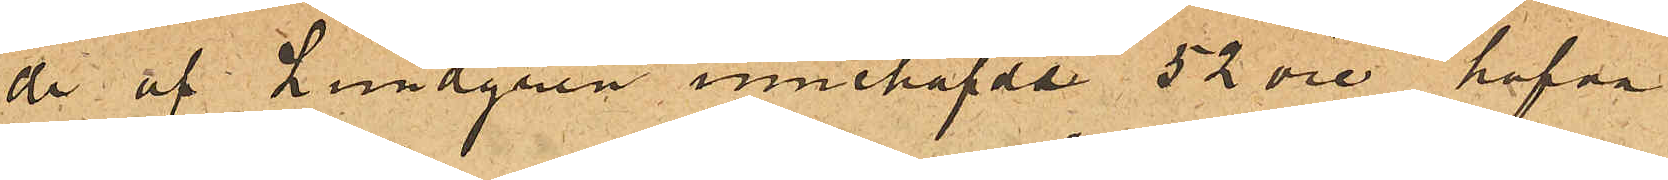de af Lundgren innehafde 52 öre hafva
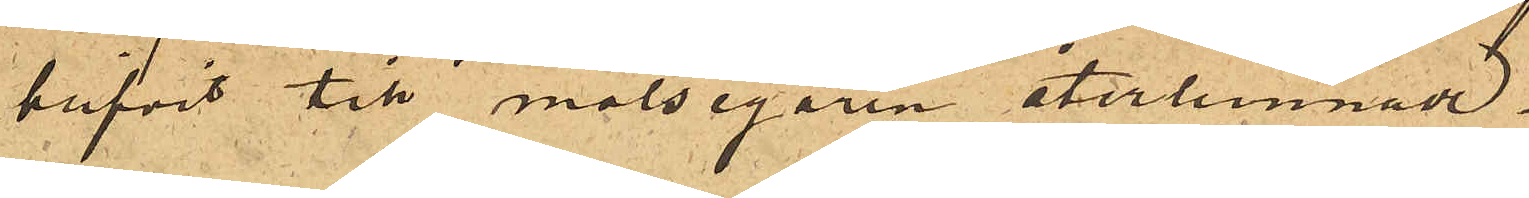blifvit till målsegaren återlemnade.
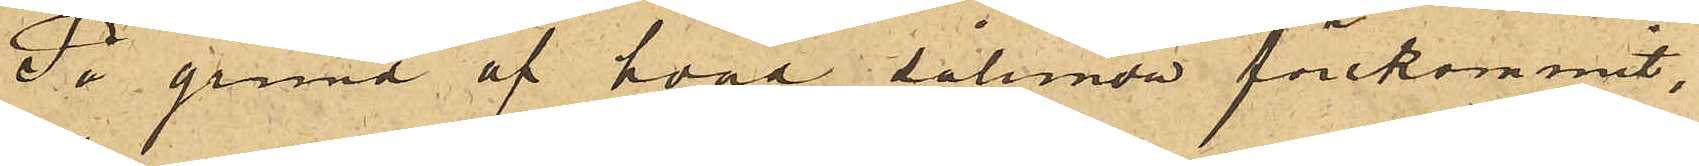På grund af hvad sålunda förekommit,
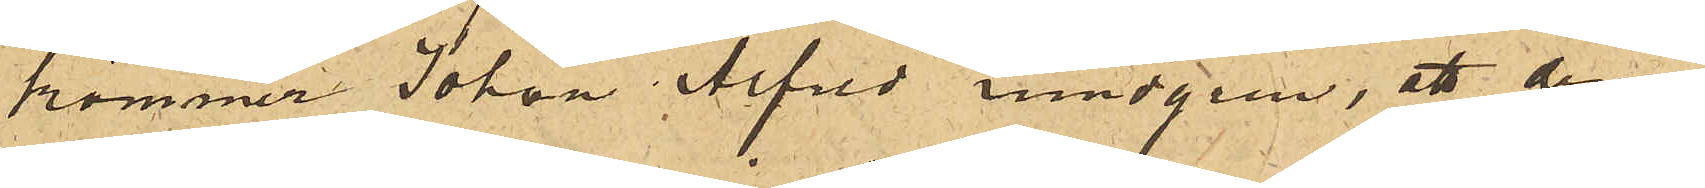kommer Johan Alfred Lundgen, att denna
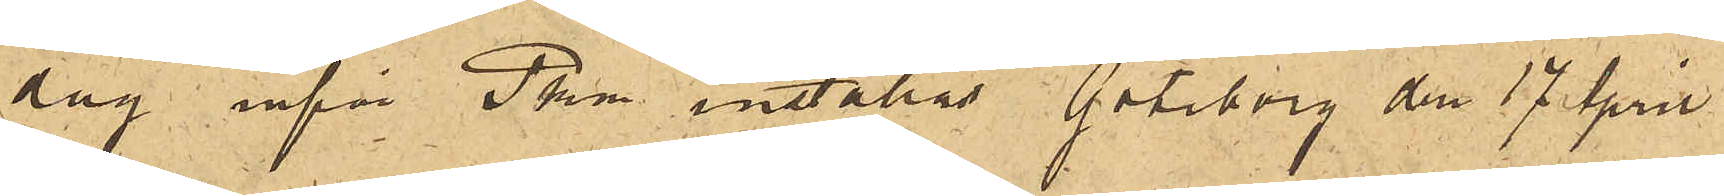dag inför Pkm inställas. Göteborg den 17 April
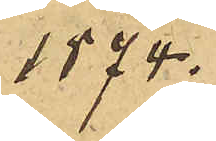1874.
